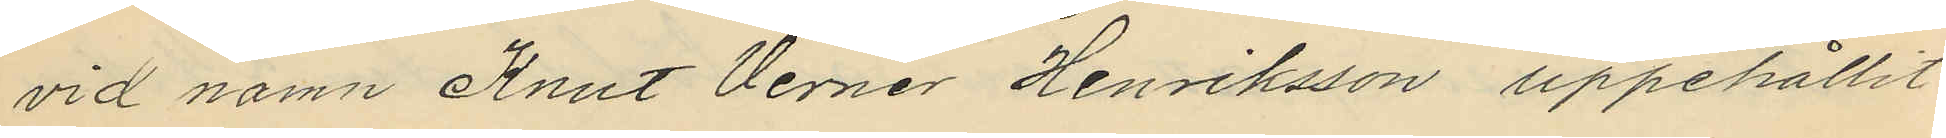vid namn Knut Verner Henriksson uppehållit
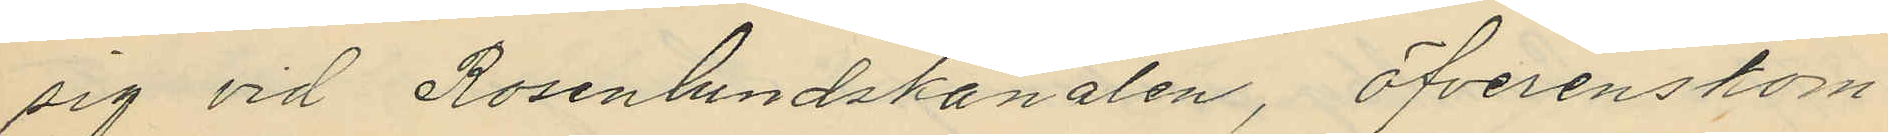sig vid Rosenlundskanalen, öfverenskom¬
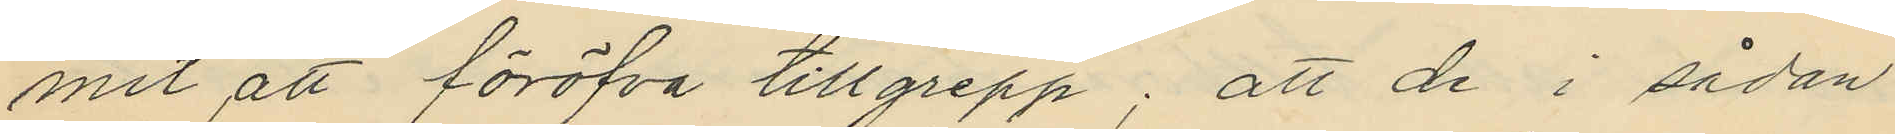mit att föröfva tillgrepp; att de i sådan
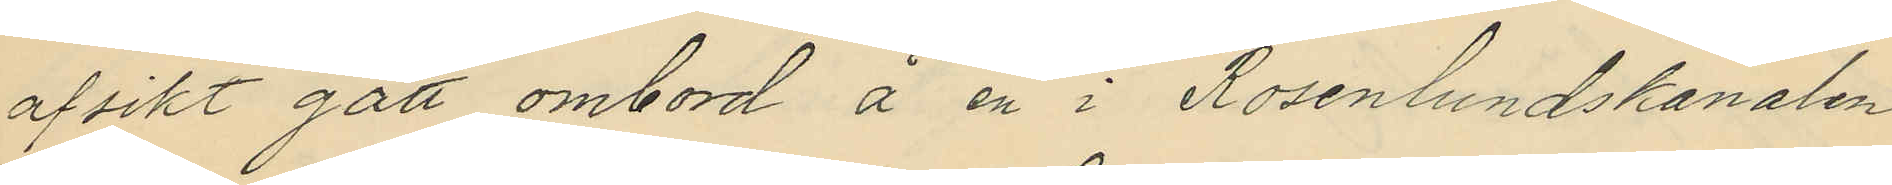afsikt gått ombord å en i Rosenlundskanalen
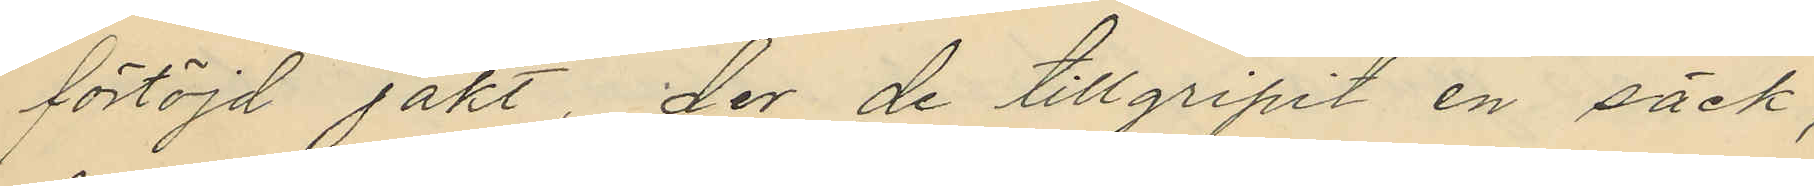förtöjd jakt, der de tillgripit en säck,
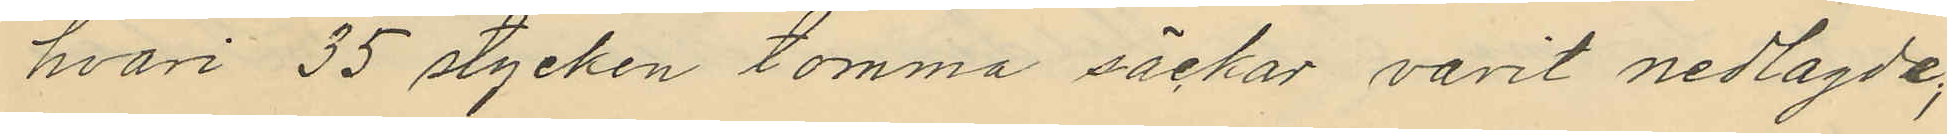hvari 35 stycken tomma säckar varit nedlagde;
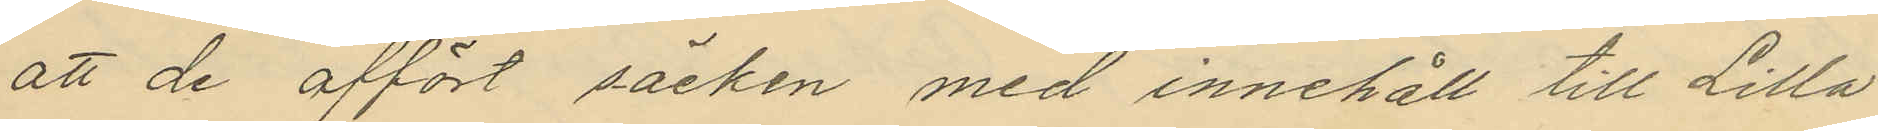att de affört säcken med innehåll till Lilla
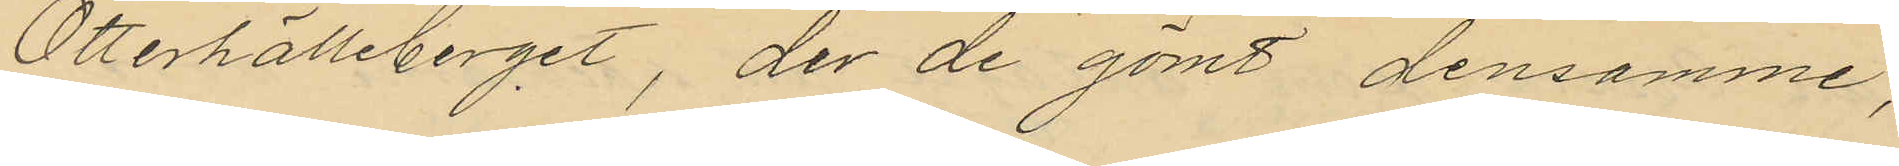Otterhälleberget, der de gömt densamme;
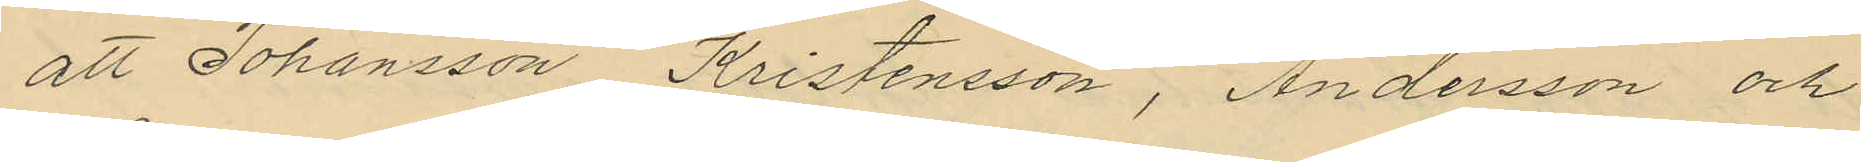att Johansson, Kristensson, Andersson och
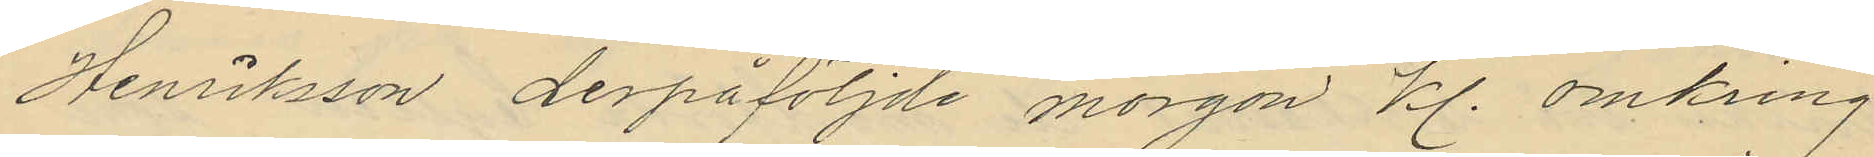Henriksson derpåföljde morgon kl. omkring
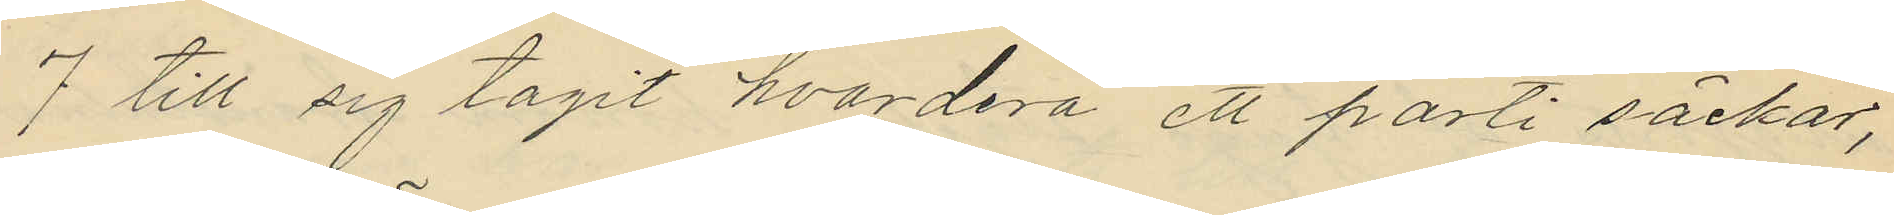7 till sig tagit hvardera ett parti säckar,
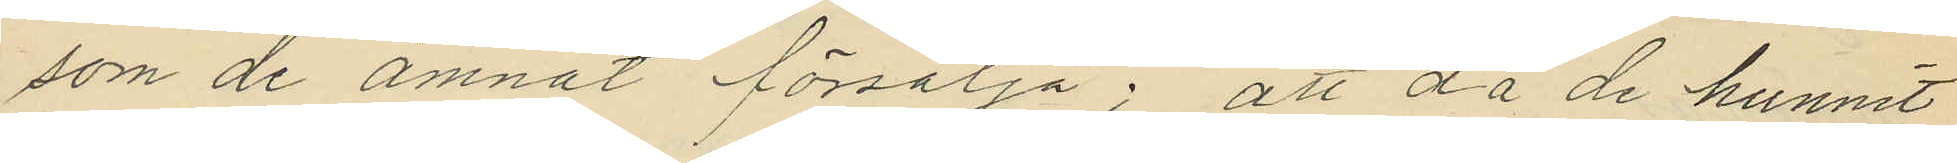som de ämnat försälja; att då de hunnit
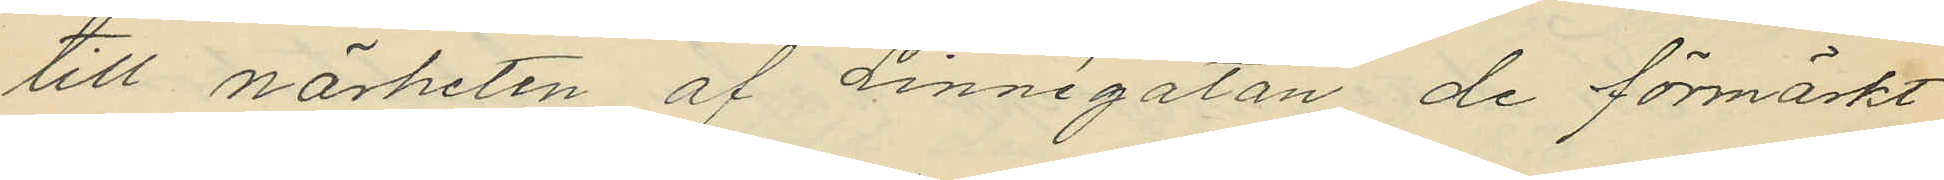till närheten af Linnégatan de förmärkt
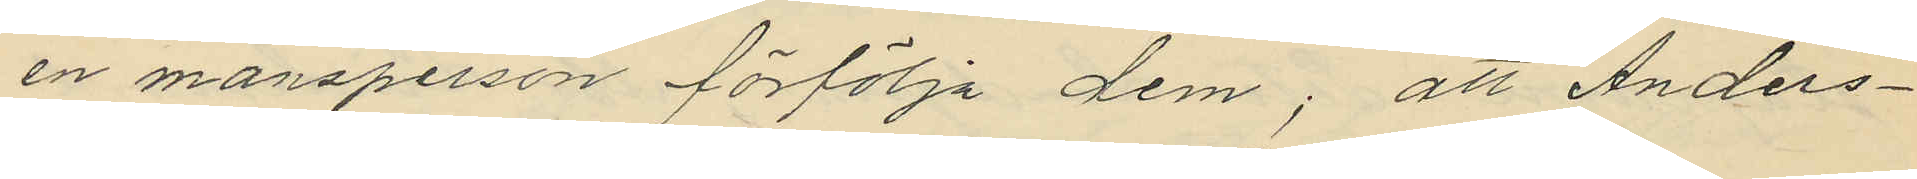en mansperson förfölja dem; att Anders¬
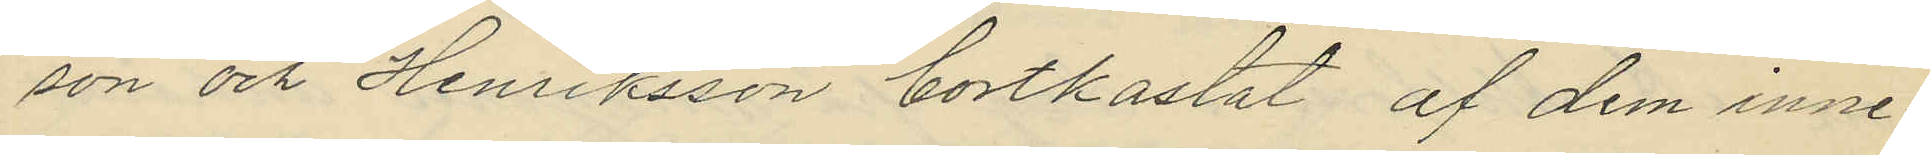son och Henriksson bortkastat af dem inne¬
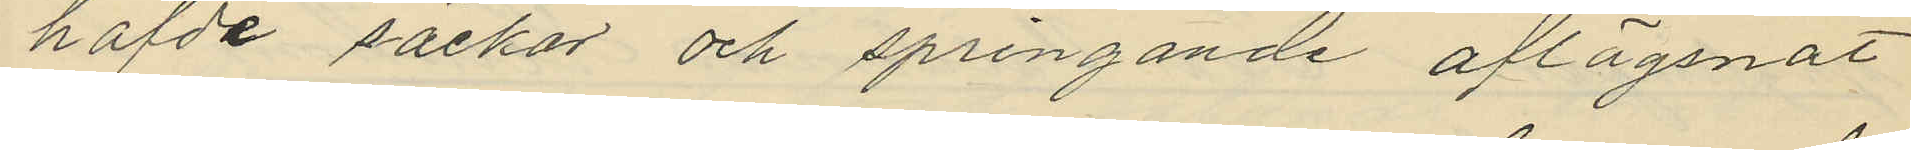hafde säckar och springande aflägsnat
